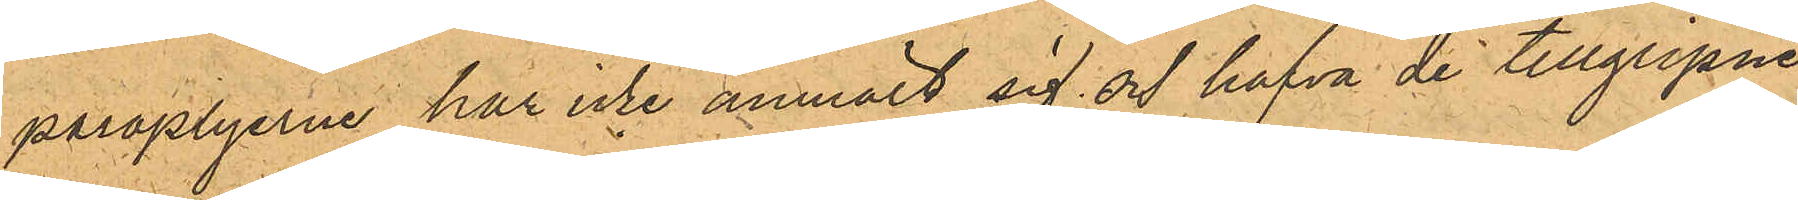paraplyerne har icke anmält sig och hafva de tillgripne
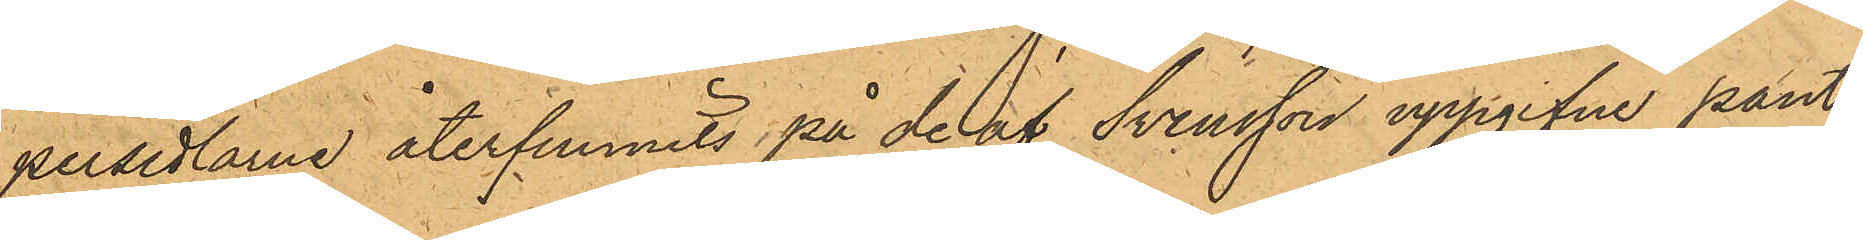persedlarne återfunnits på de af Svensson uppgifne pant¬
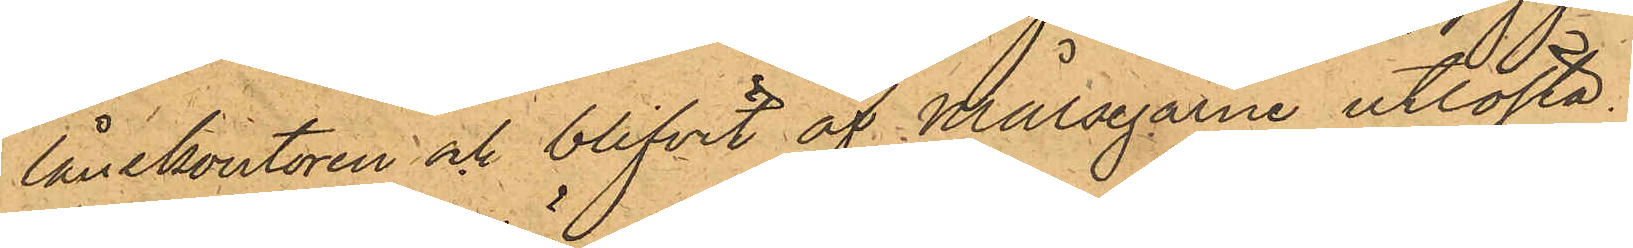lånekontoren och blifvit af Målsegarne urlösta.
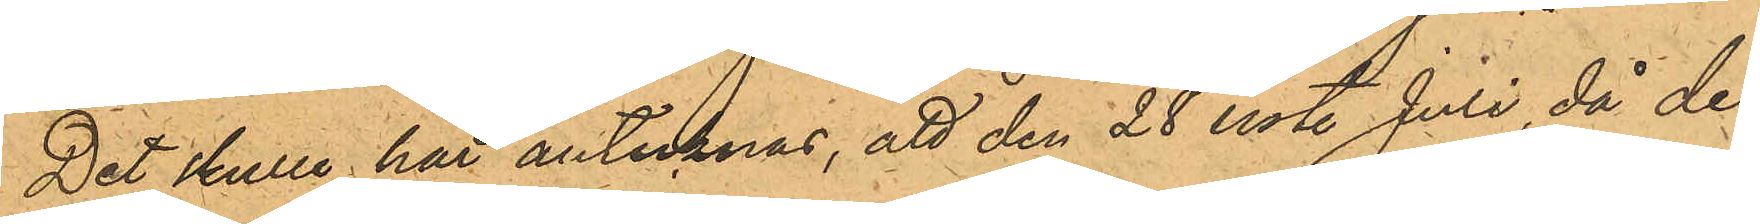Det skulle här antecknas, att den 28 sist. Juli, då de¬
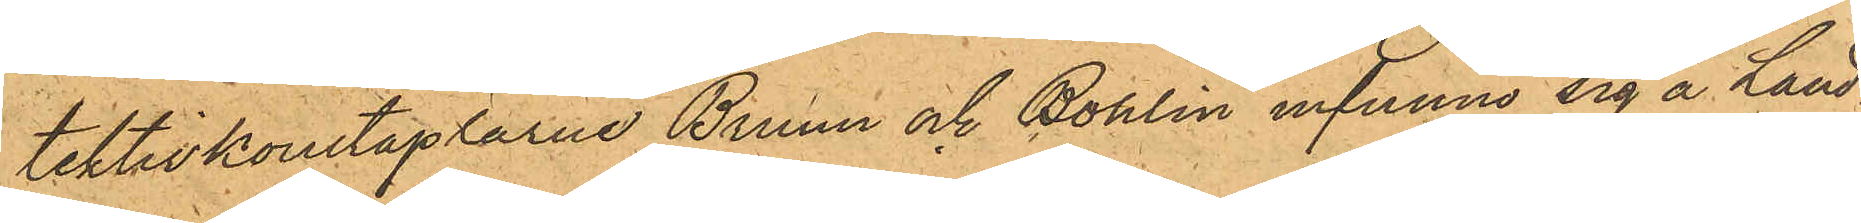tektivkonstaplarne Bruun och Bohlin infunno sig å Land¬
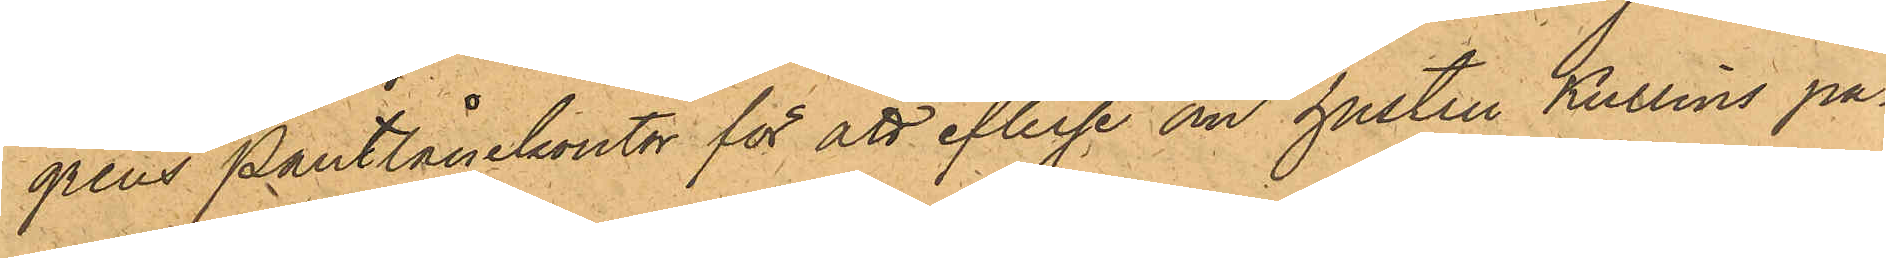grens pantlånekontor för att efterse om hustru Kullins pa¬
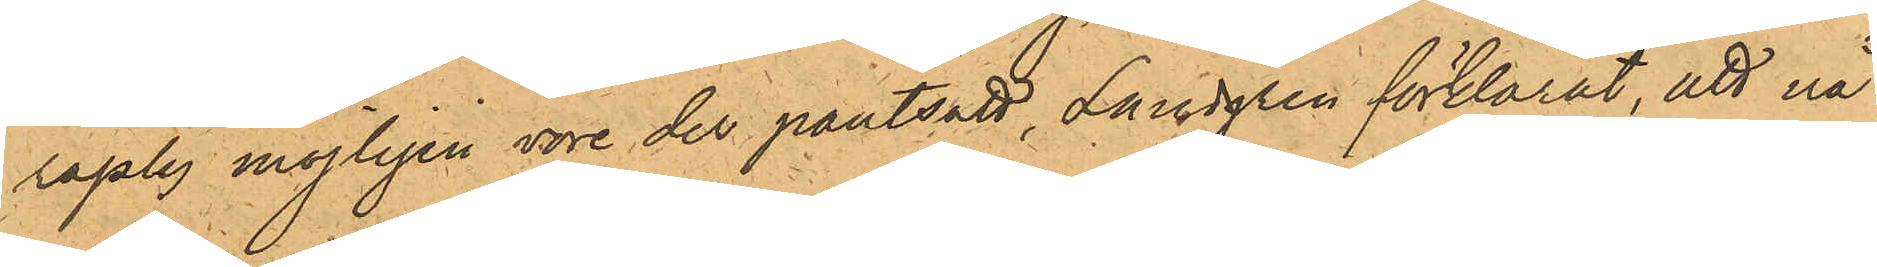raply möjligen vore der pantsatt, Landgren förklarat, att nå¬
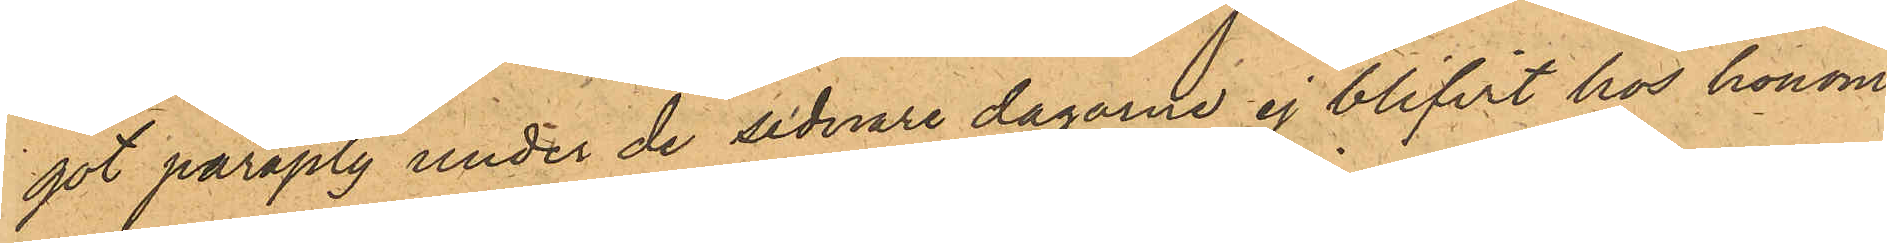got paraply under de sednare dagarne ej blifvit hos honom
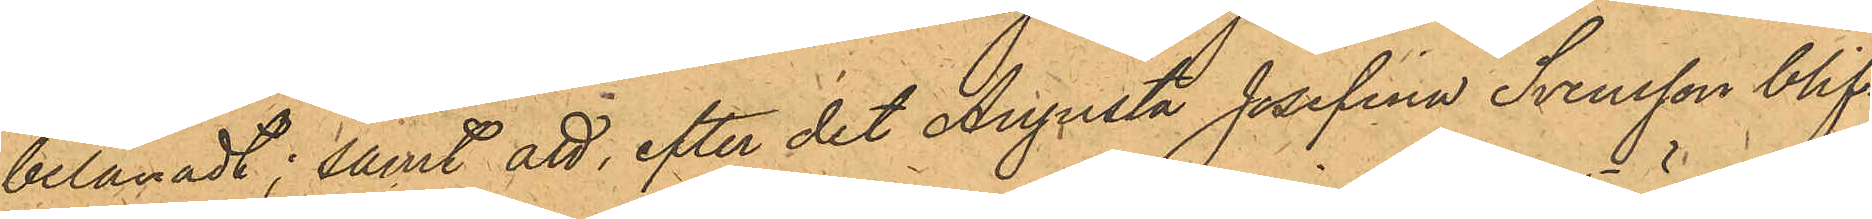belånadt; samt att, efter det Augusta Josefina Svensson blif¬
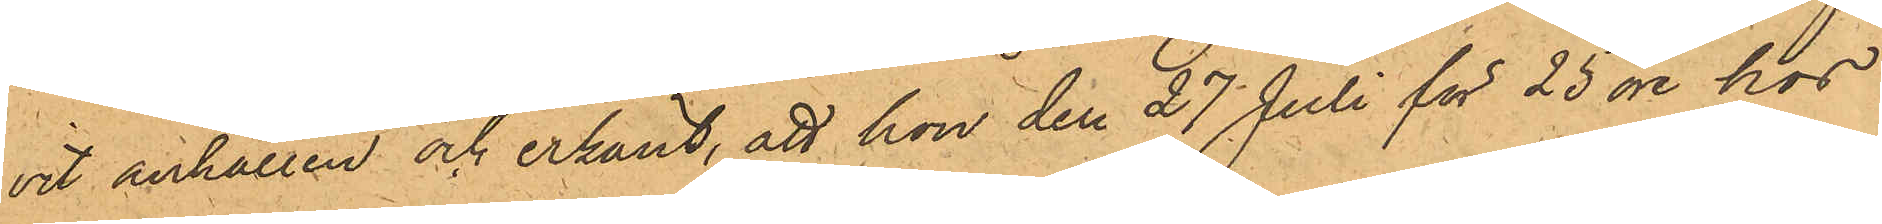vit anhållen och erkänt, att hon den 27 Juli för 25 öre hos
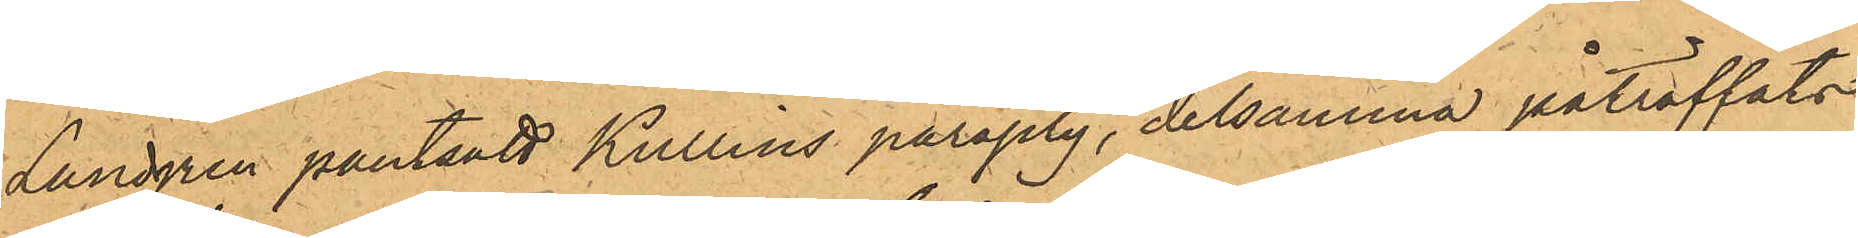Landgren pantsatt Kullins paraply, detsamma påträffats
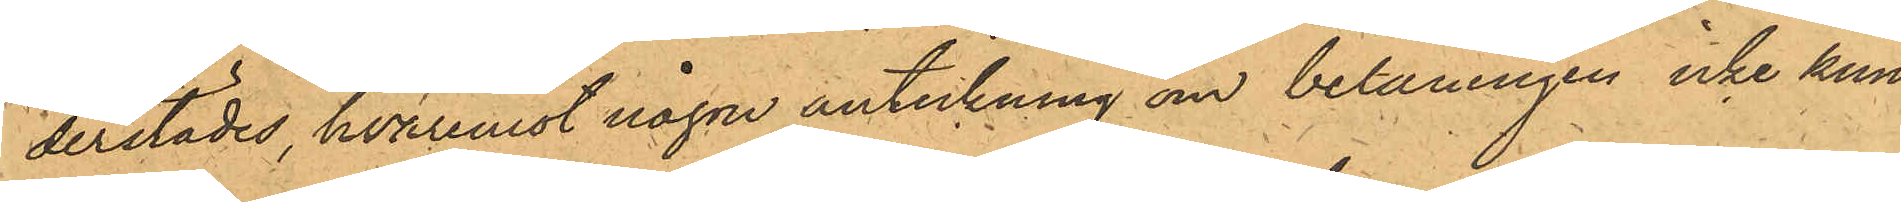derstädes hvaremot någon anteckning om belåningen icke kun¬
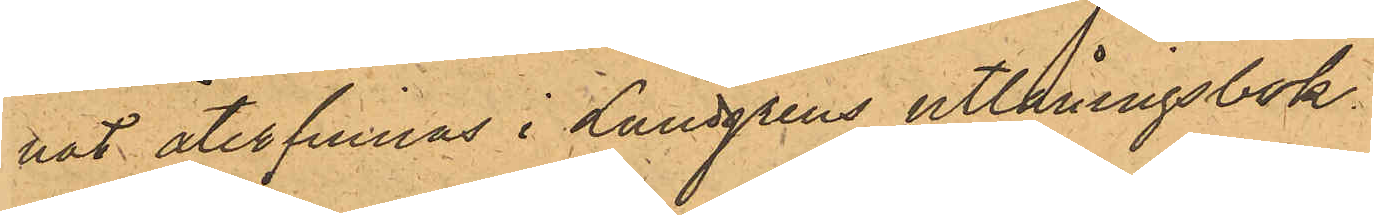nat återfinnas i Landgrens utlåningsbok.
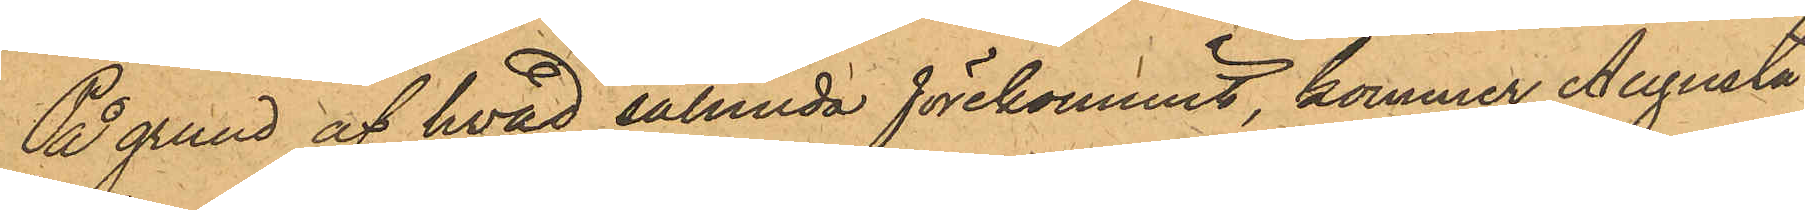På grund af hvad sålunda förekommit, kommer Augusta
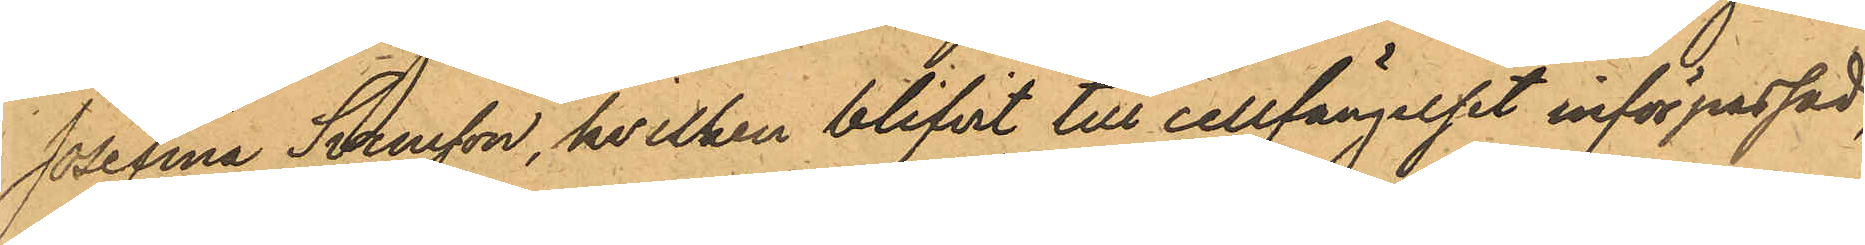Josefina Svensson, hvilken blifvit till cellfängelset införpassad,
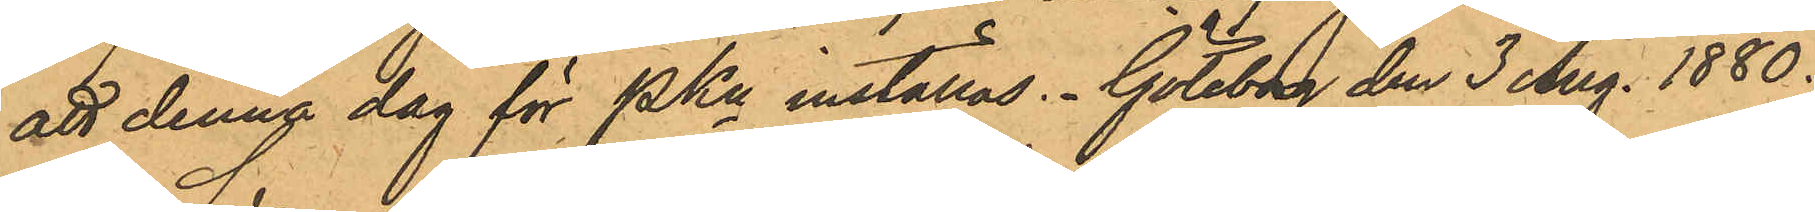att denna dag för PKn inställas. Göteborg den 3 Aug. 1880.
